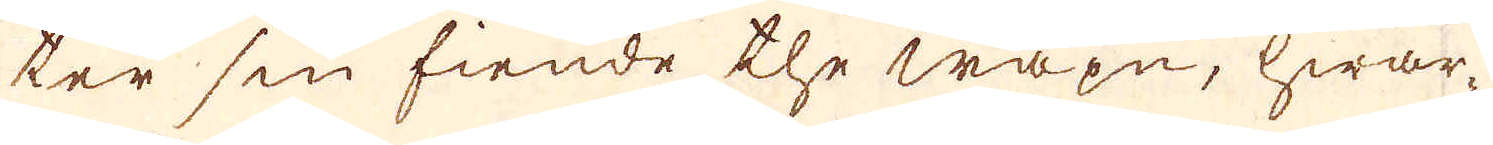ter sin fiende the wapn, hwar-
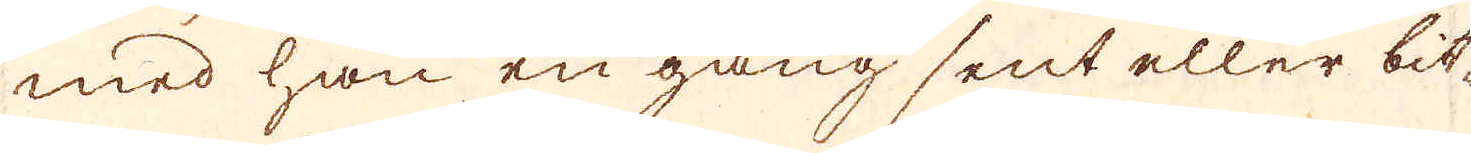med han en gång sent eller bit-
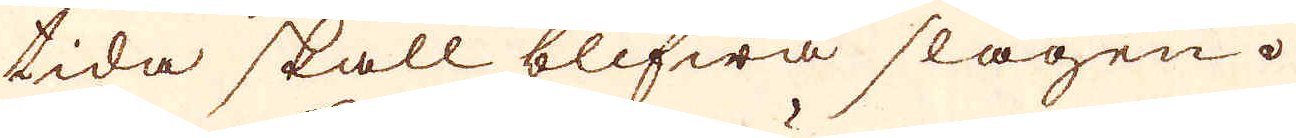tida skall blifwa slagen.
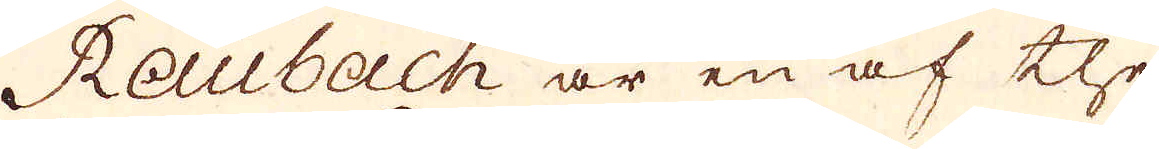Raubach är en af the
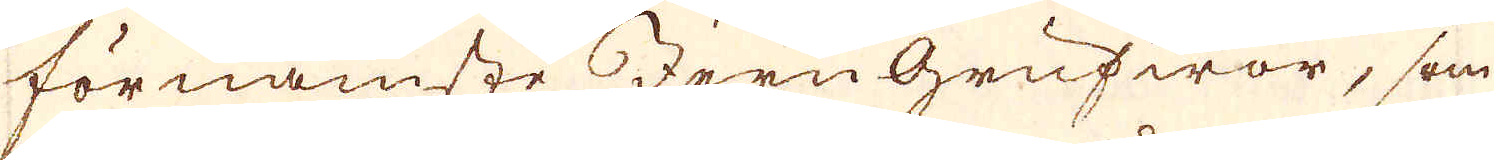förnämste Jern grufwor, som
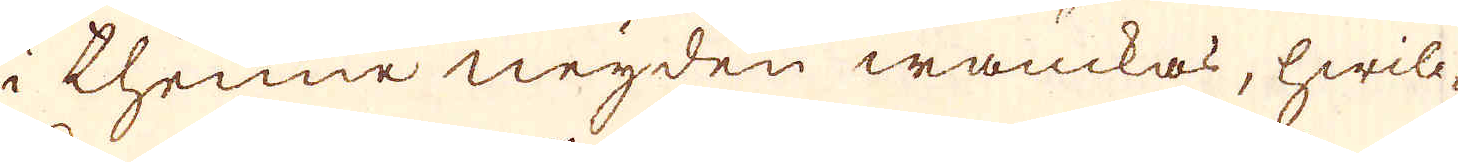i thenne neyden wanckas, hwilc-
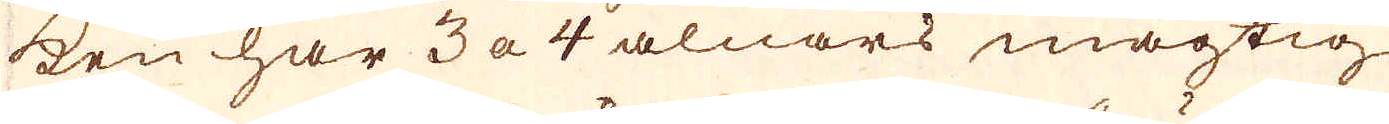ken har 3 a 4 alnars mägtig
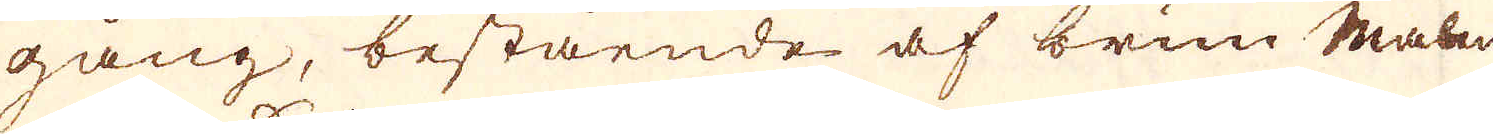gång, bestående af brun Malm
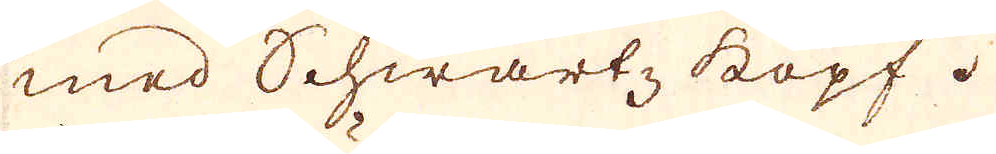med Schwartz kopf.
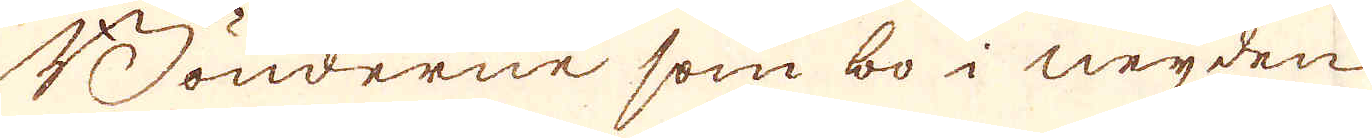Bönderne som bo i neyden
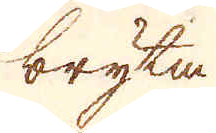bryta
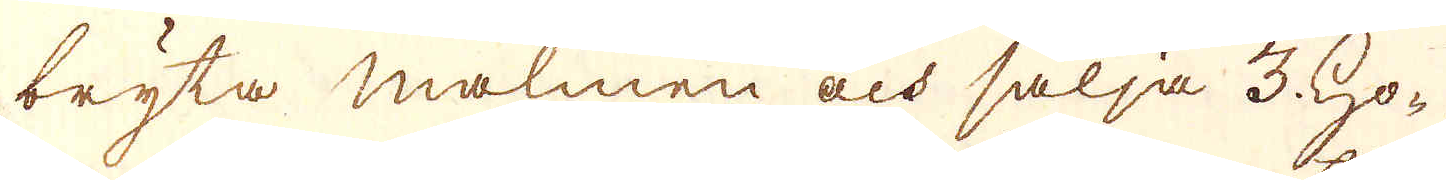bryta malmen och sälja 3 Ho-
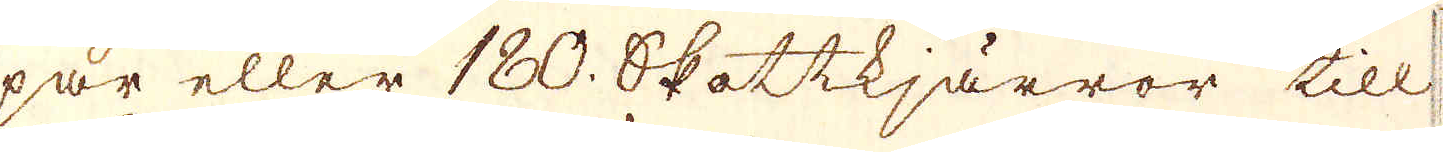par eller 180. Skottkjärror till
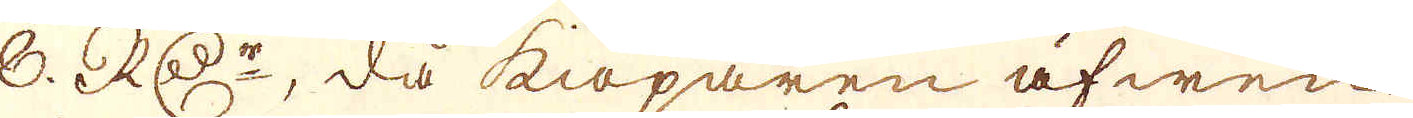8. RD:r, då kiöparen äfwen
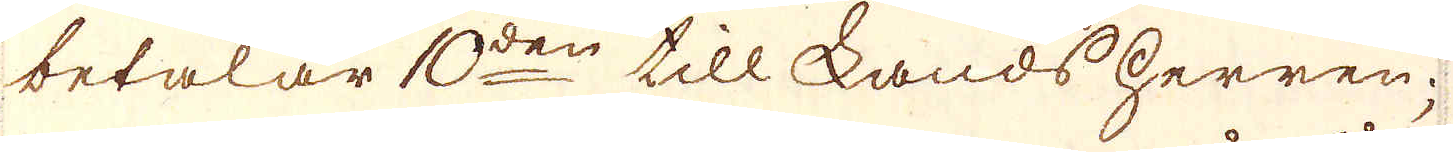betalar 10:den till Landsherren;
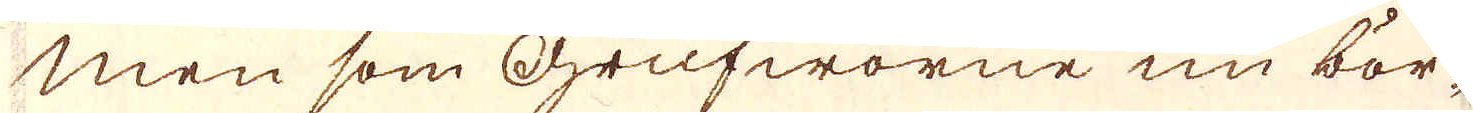Men som Grufworne nu bör-
